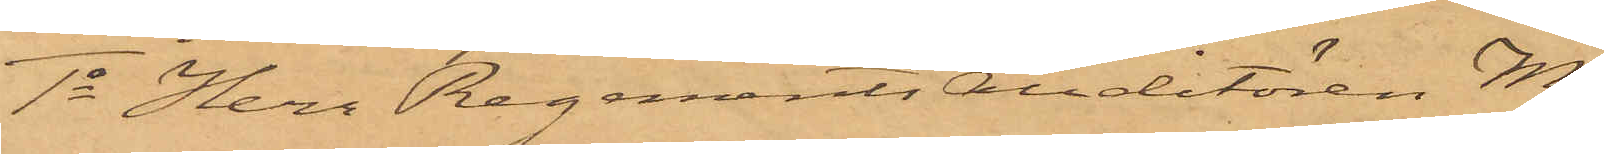1o Herr Regementsauditören M.
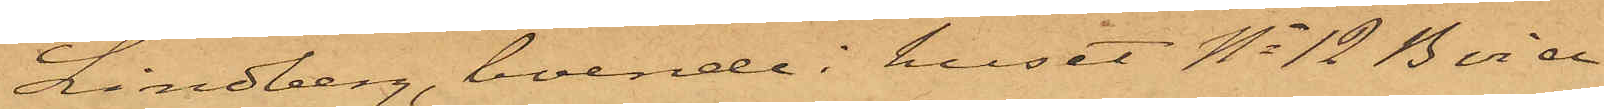Lindberg, boende i huset No 12 B vid
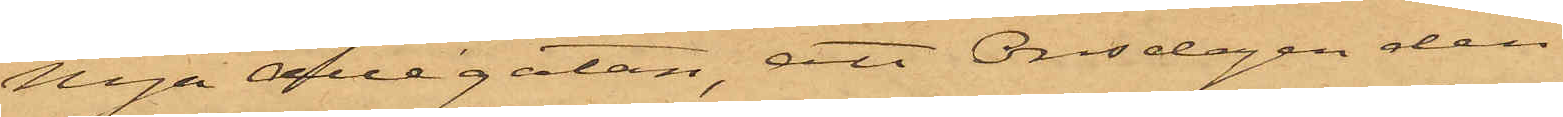Nya Allégatan, att Onsdagen den
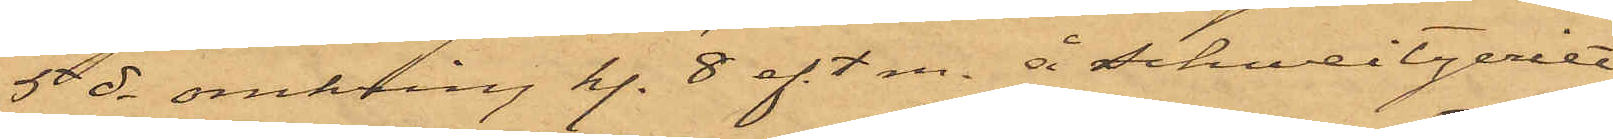5 ds omkring kl. 8 eft.m. å Schweizeriet
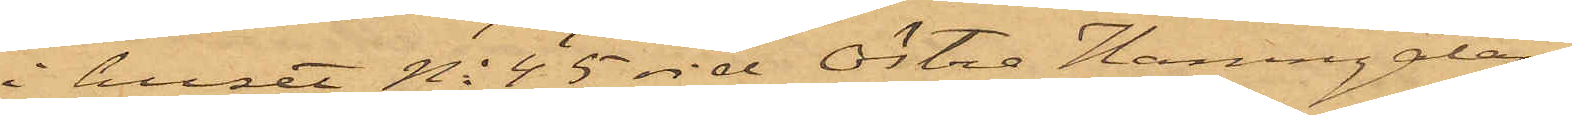i huset No 45 vid Östra Hamngatan
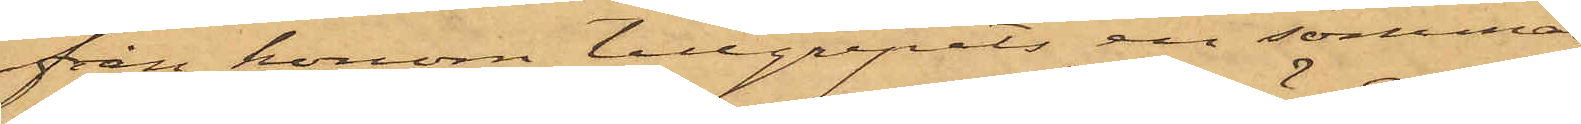från honom tillgripits en sommar¬
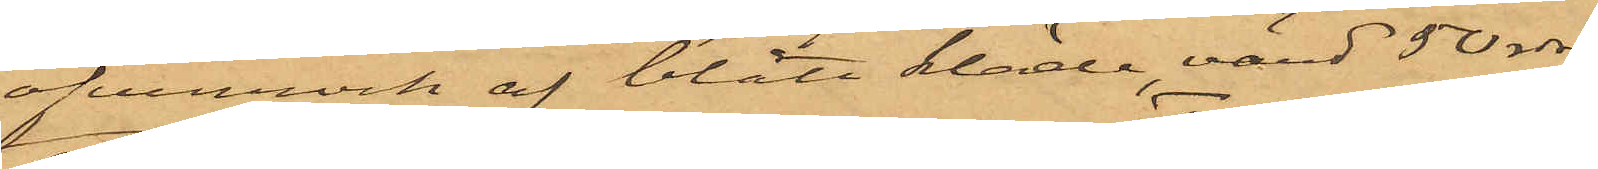öfverrock af blått kläde, värd 50 rdr;
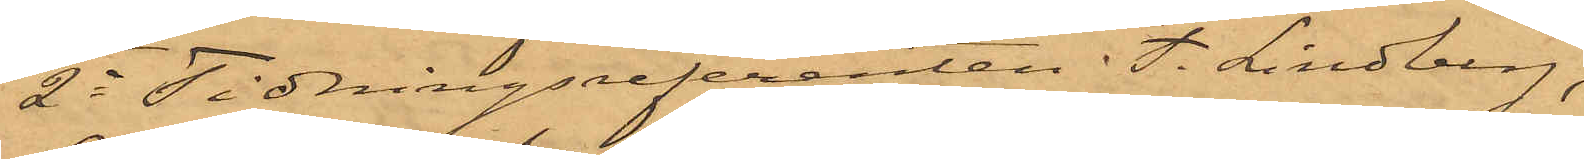2o Tidningsreferenten F. Lindberg,
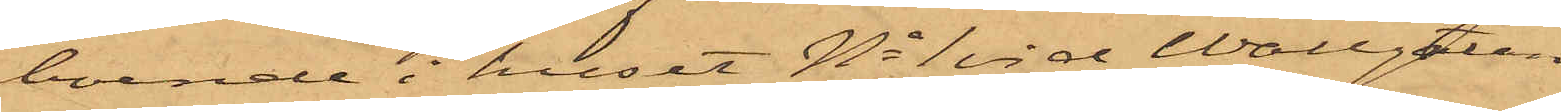boende i huset No 1 vid Wallgatan,
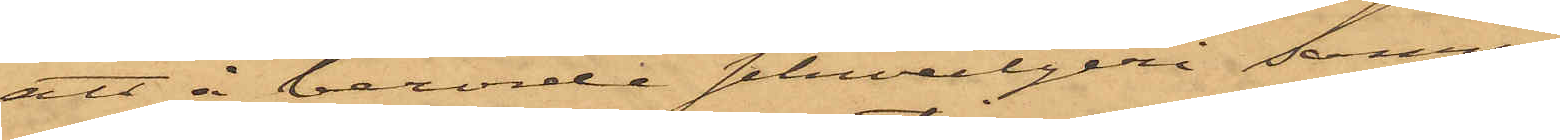att å berörde schweizeri samma
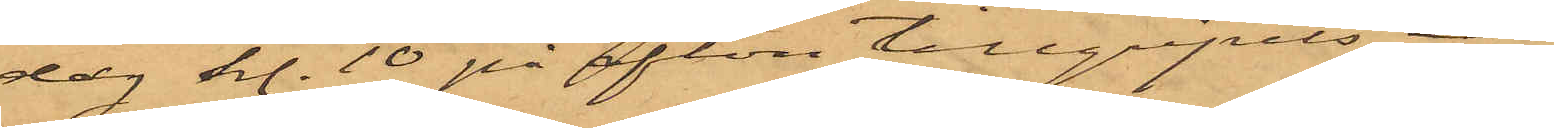dag kl. 10 på afton tillgripits en
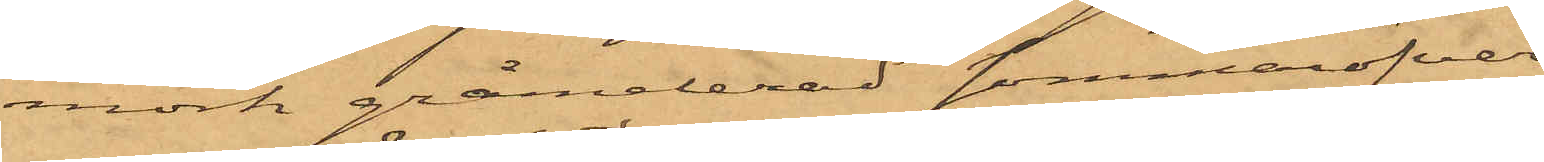mörk gråmelerad sommaröfver¬
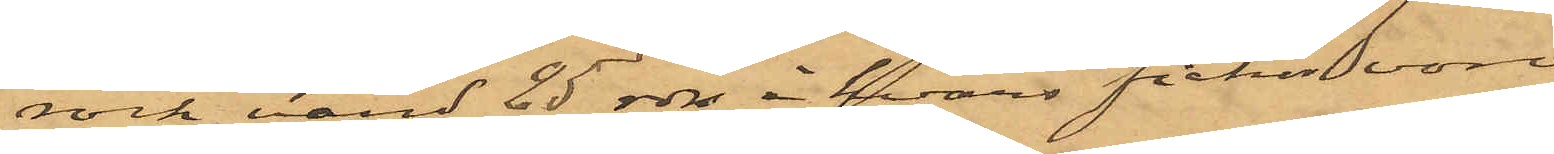rock värd 25 rdr, i hvars fickor voro
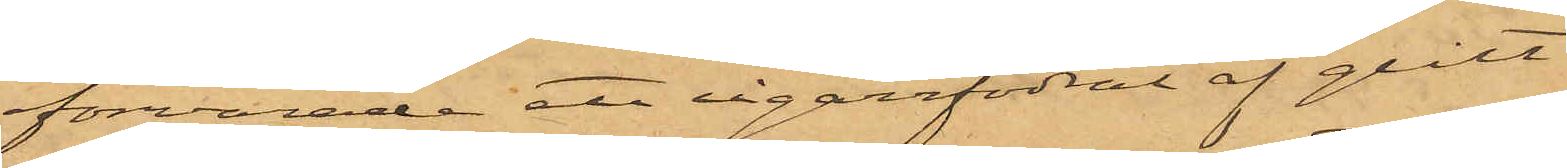förvarade ett cigarrfodral af grått
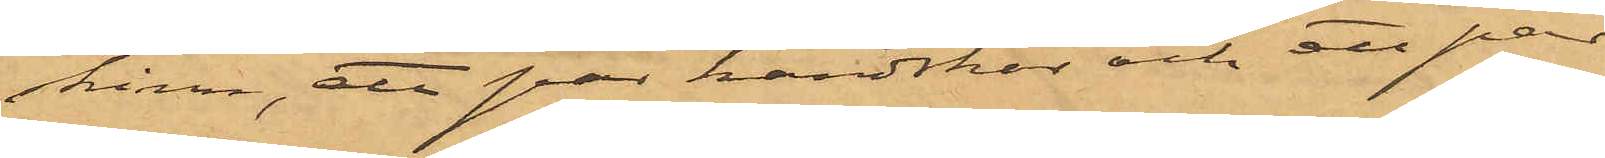skinn,  att par handskar och ett par
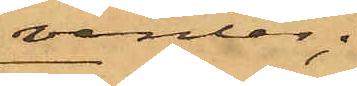vantar;
